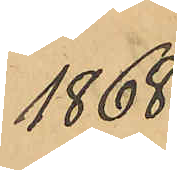1868
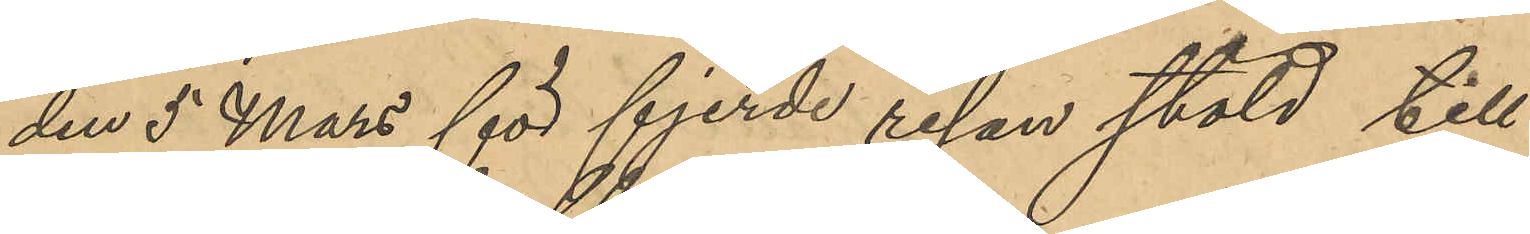den 5 Mars för fjerde resan stöld till
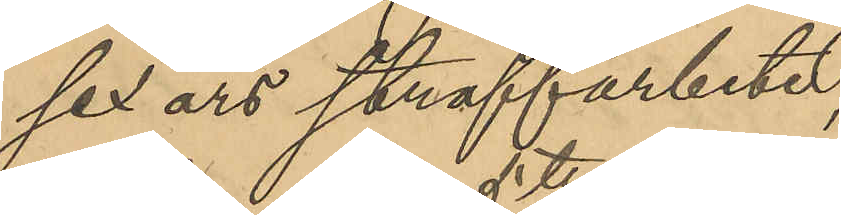sex års straffarbete;
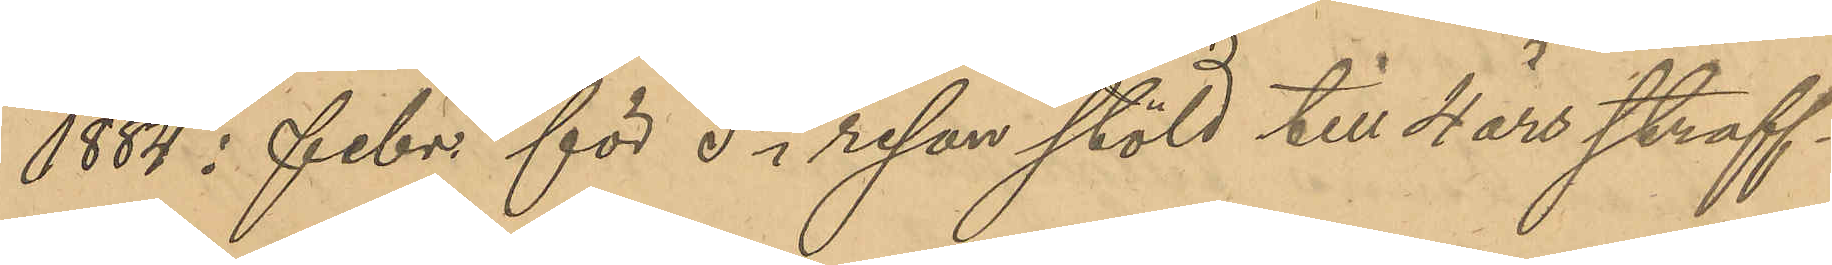1884 i febr. för 5te resan stöld till 4 års straff¬
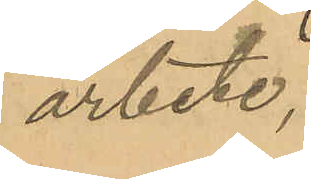arbete;
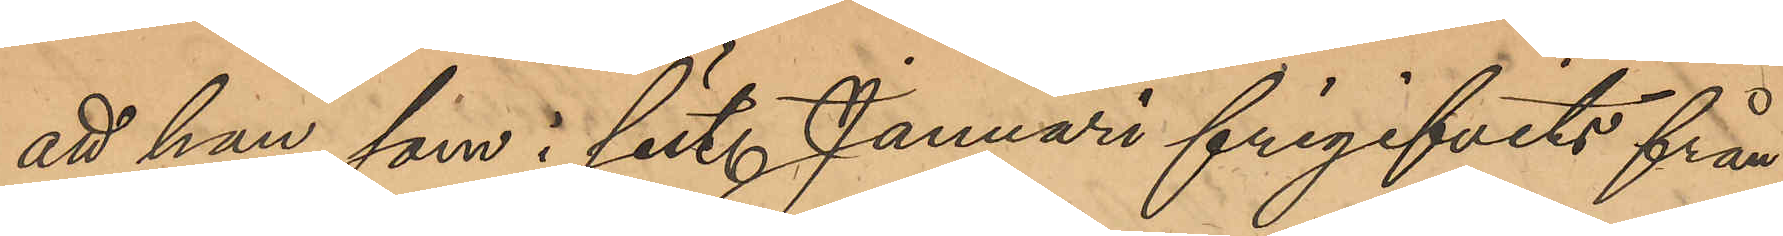att han, som i sist. Januari frigifvits från
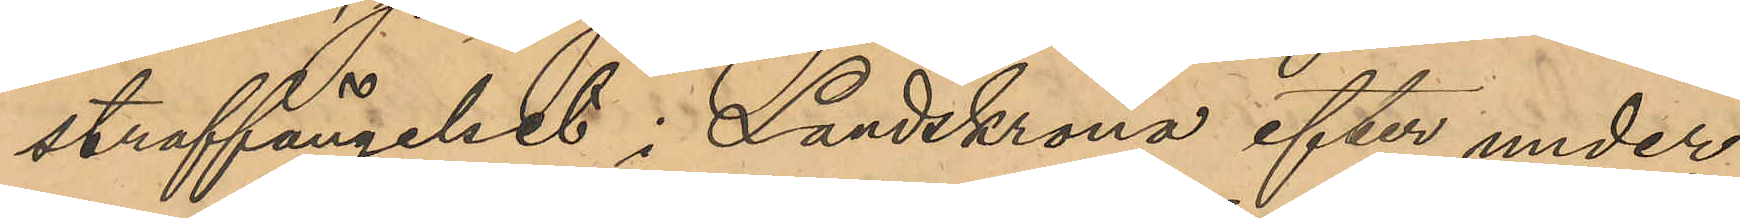straffängelset i Landskrona efter under¬
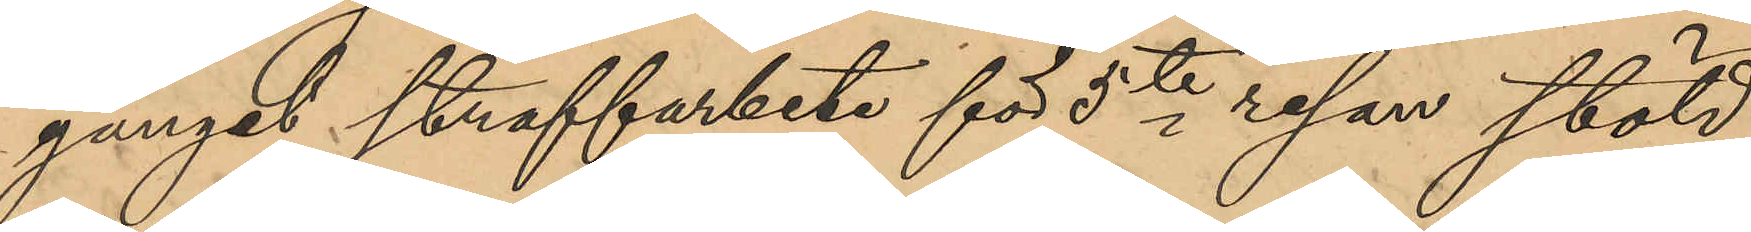gånget straffarbete för 5te resan stöld,
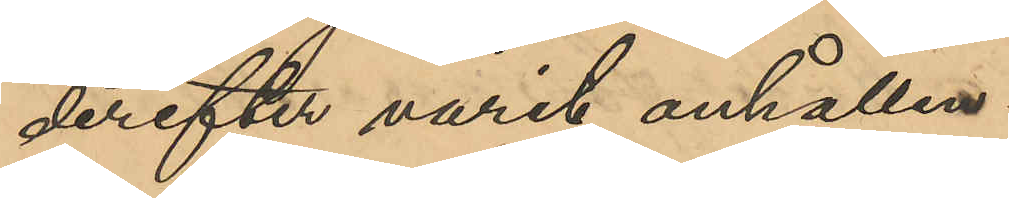derefter varit anhållen:
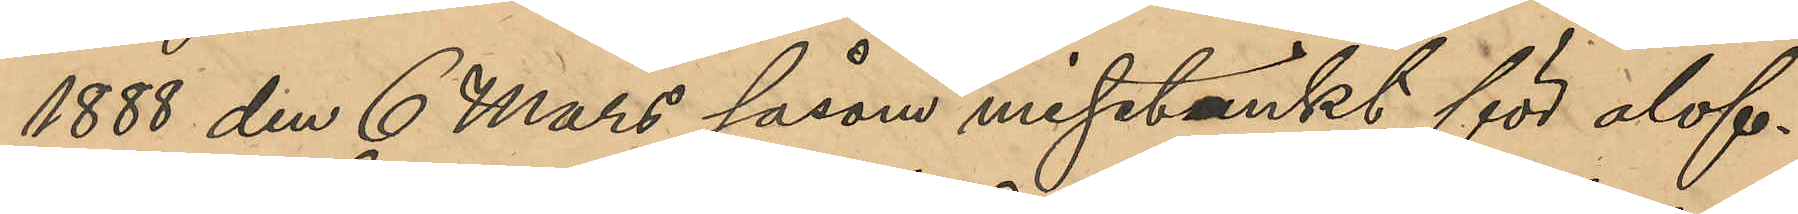1888 den 6 Mars såsom misstänkt för olof¬
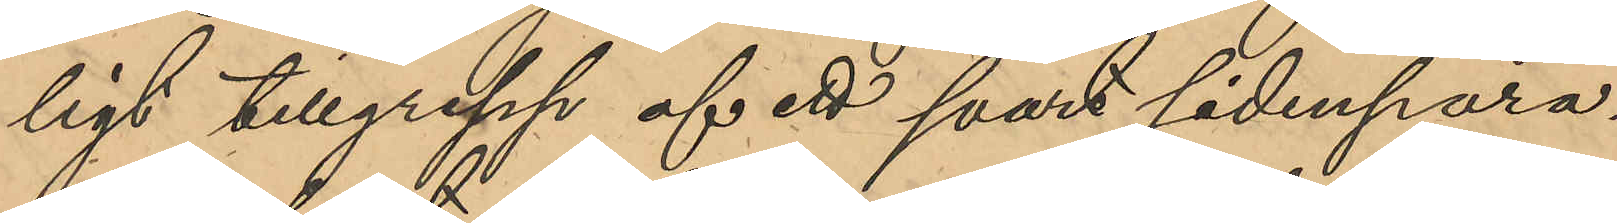ligt tillgrepp af ett svart sidenpara¬
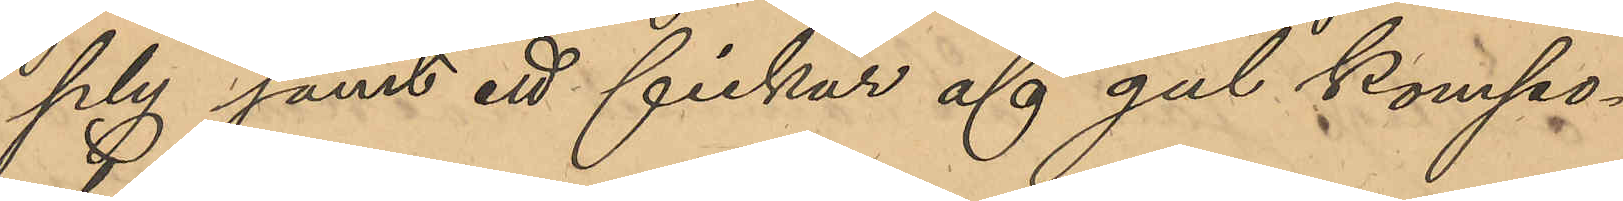ply samt ett fickur af gul kompo¬
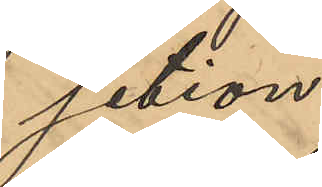sition;
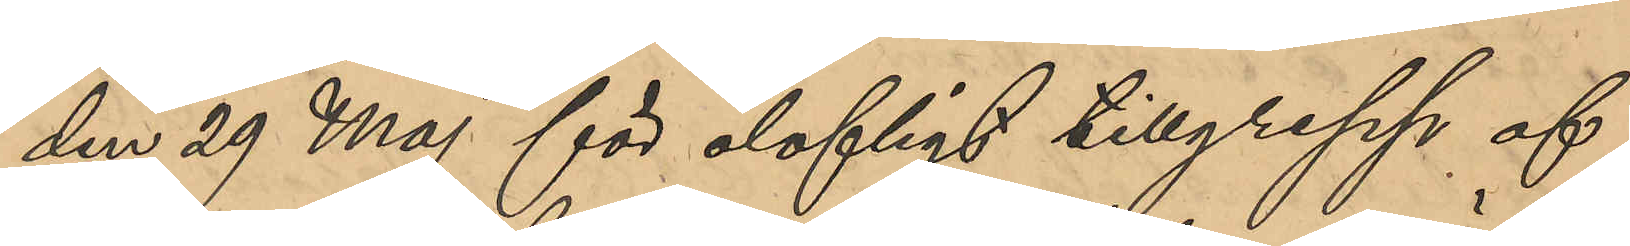den 29 Maj för olofligt tillgrepp af
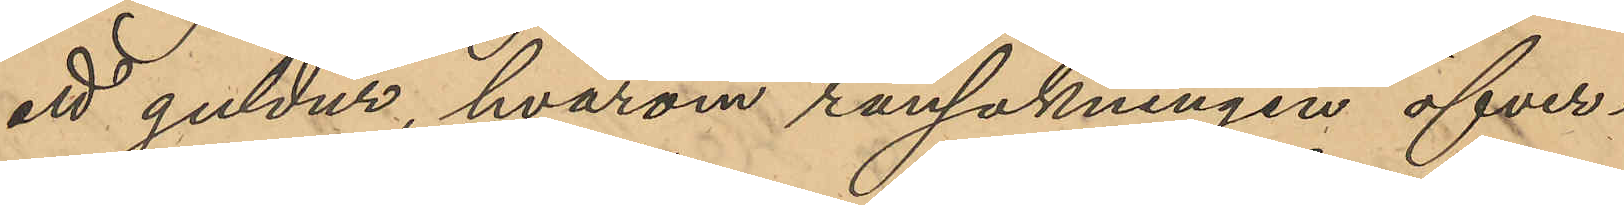ett guldur, hvarom ransakningen öfver¬
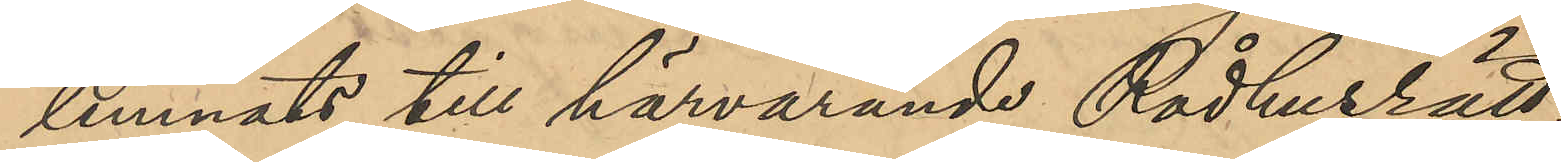lemnats till härvarande Rådhusrätt;
